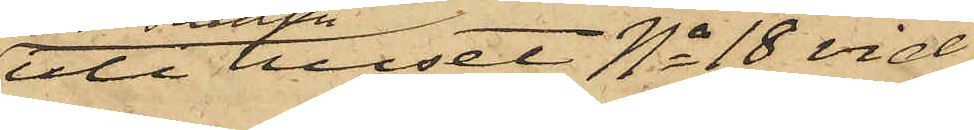uti huset No 18 vid
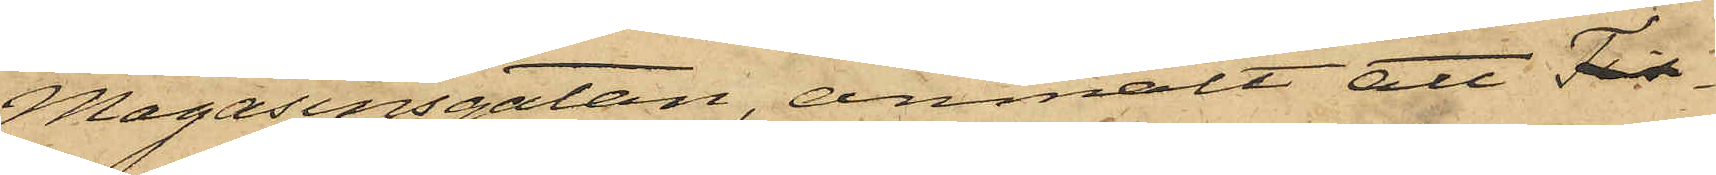Magasinsgatan, anmält att Tis¬
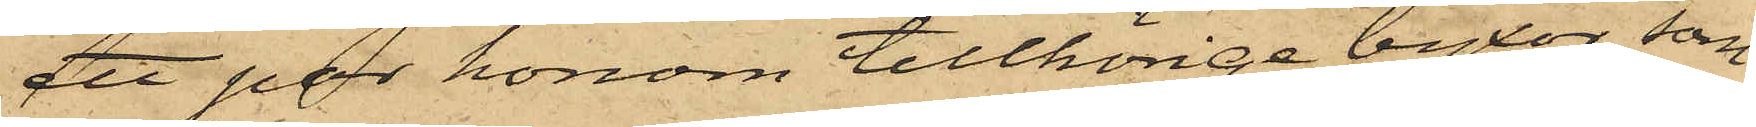ett par honom tillhörige byxor, som
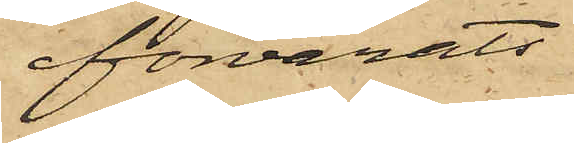förvarats
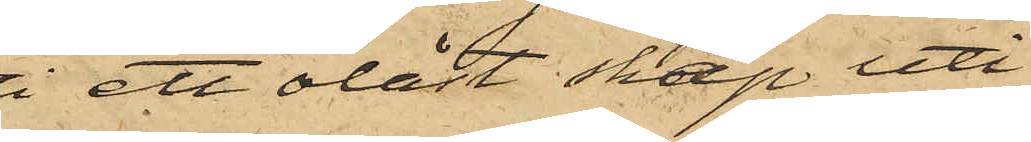i ett olåst skap uti
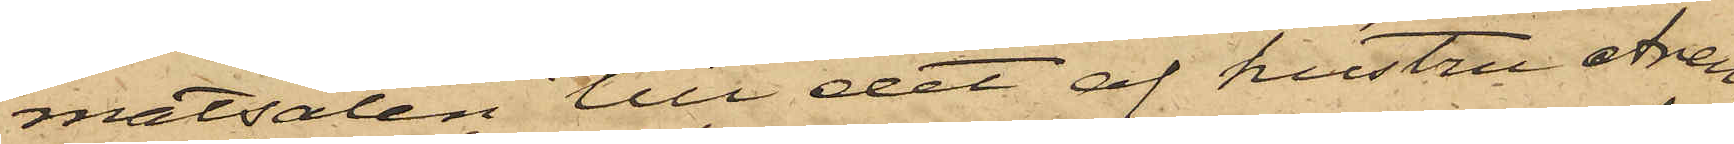matsalen till det af hustru Aren¬
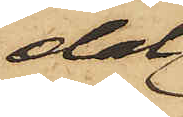dal
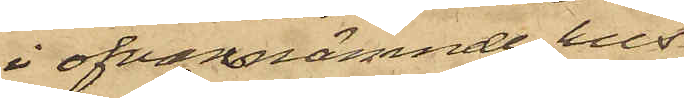i ofvannämnde hus
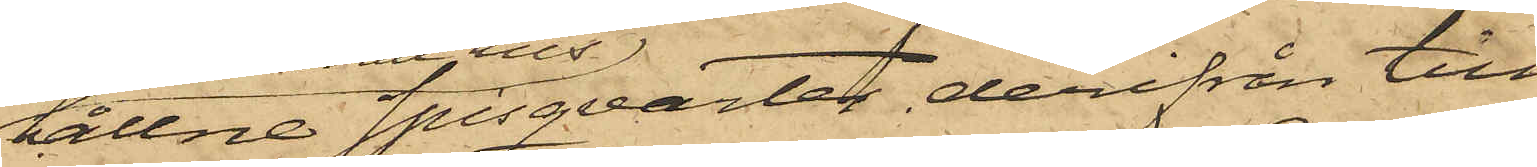hållne spisqvarter, derifrån till¬
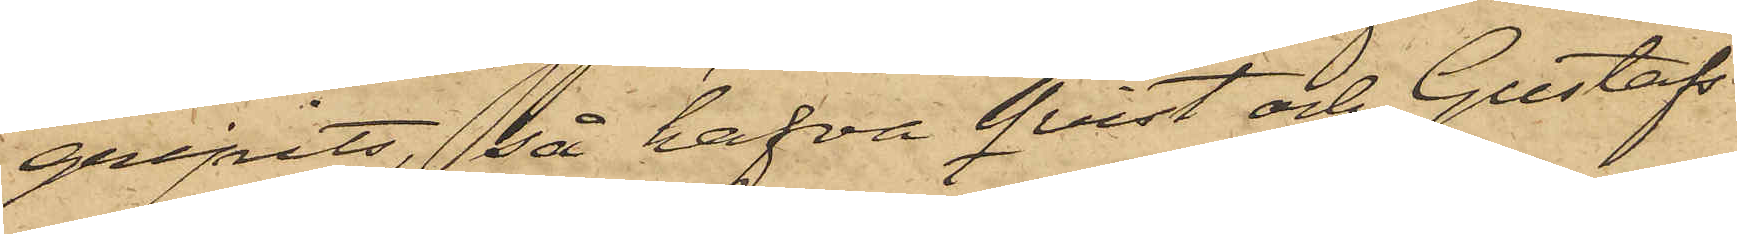gripits, så hafva Qvist och Gustafs¬
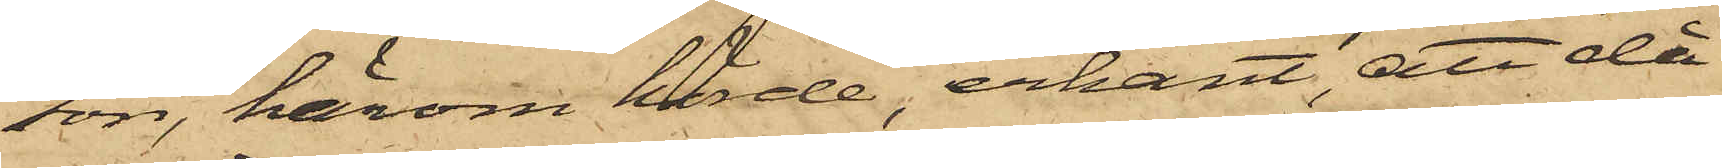son, härom hörde, erkänt,att då
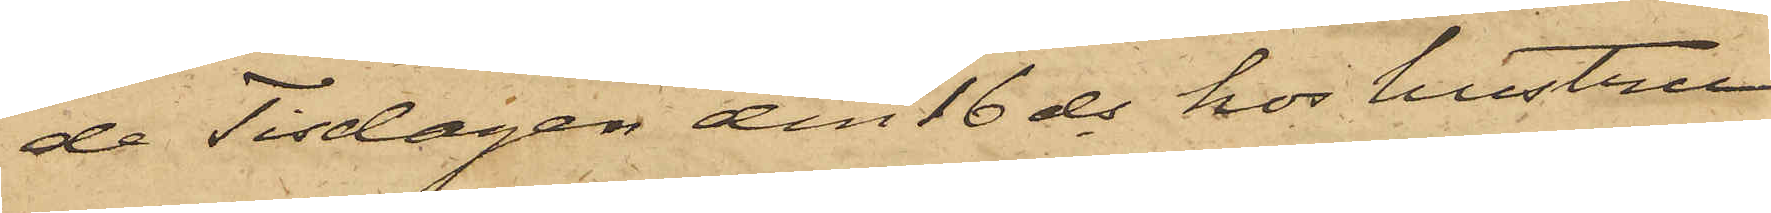de Tisdagen den 16 ds hos hustru
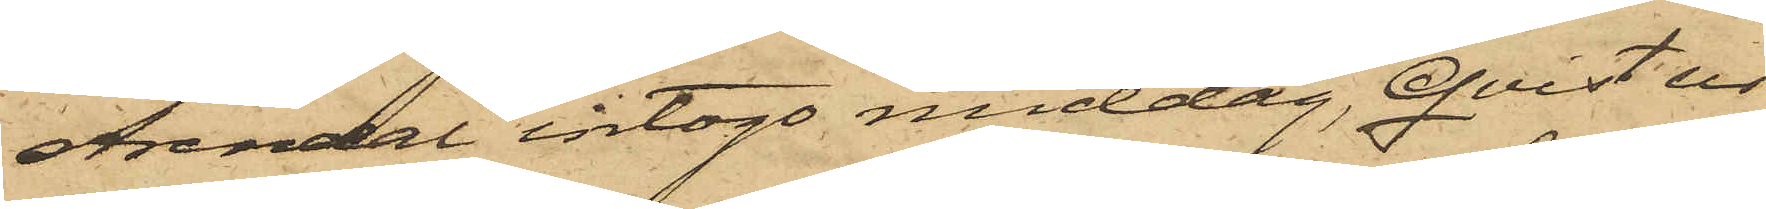Arendal intogo middag, Qvist ur
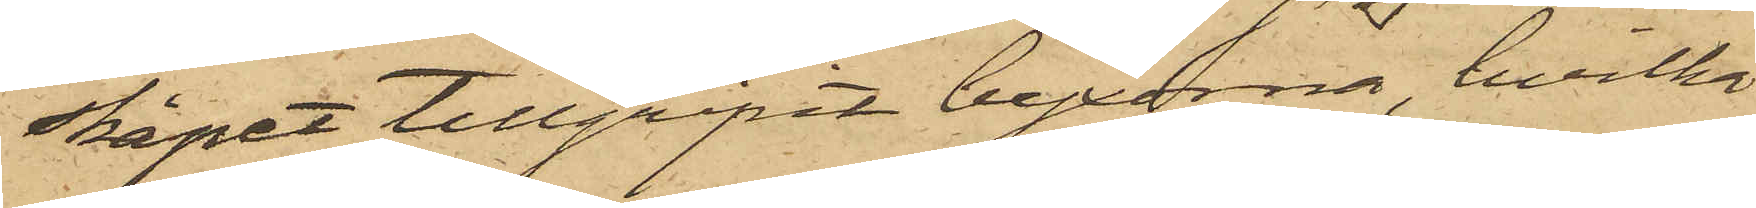skåpet tillgripit byxorna, hvilka
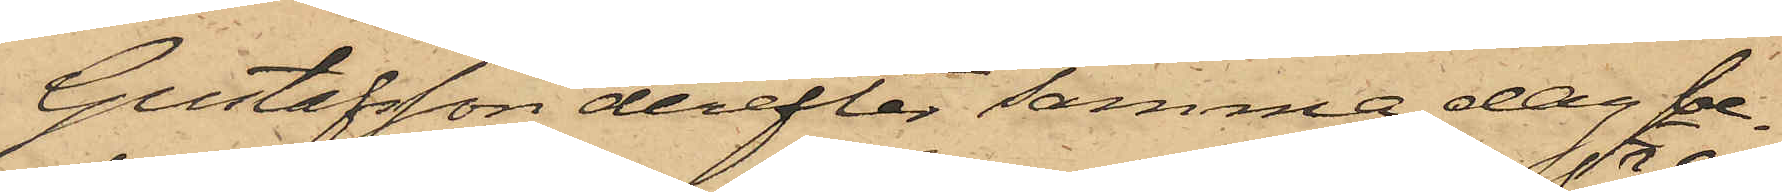Gustafsson derefter samma dag be¬
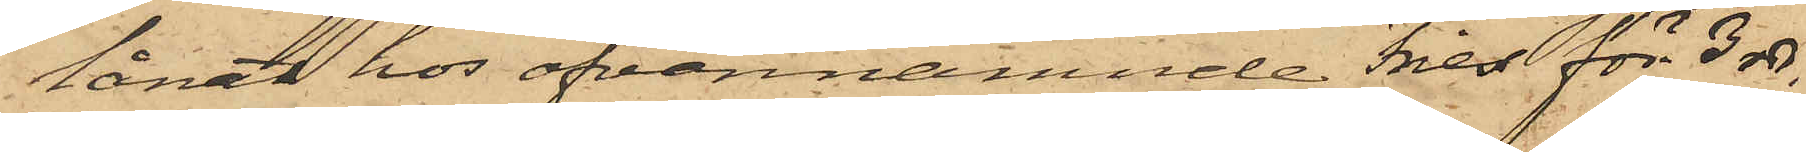lånat hos ofvannämnde Fries för 3 rdr.
